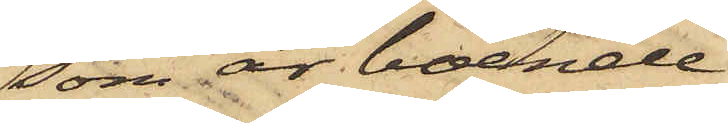som är boende
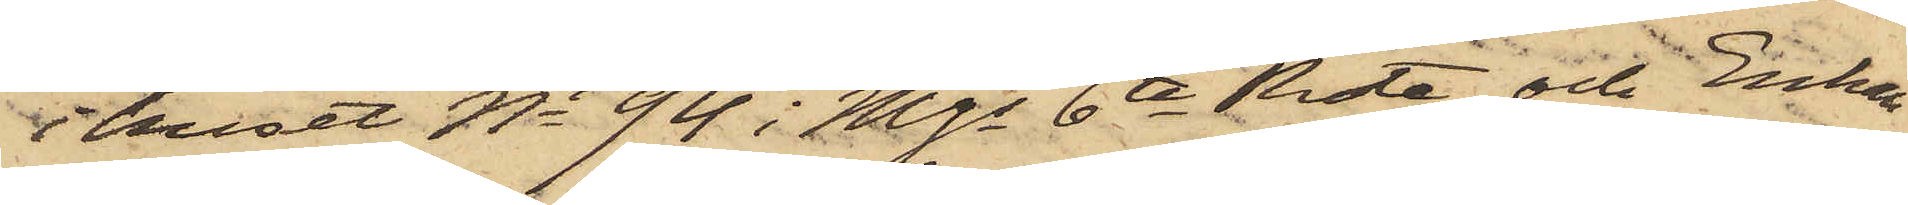i huset No 94 i Mjs 6te Rote, och Enkan
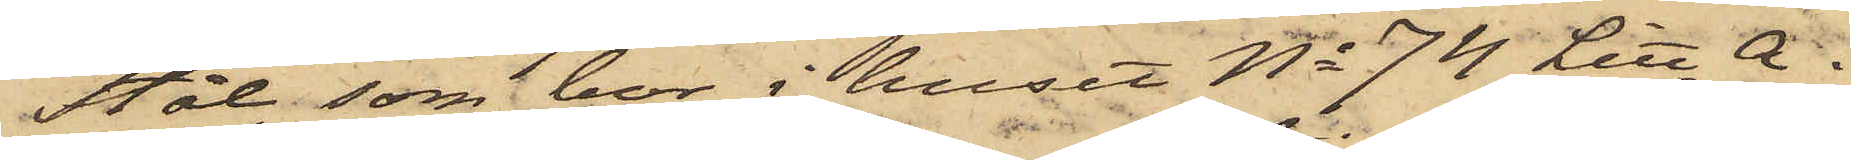Stål, som bor i huset No 74 Litt A i
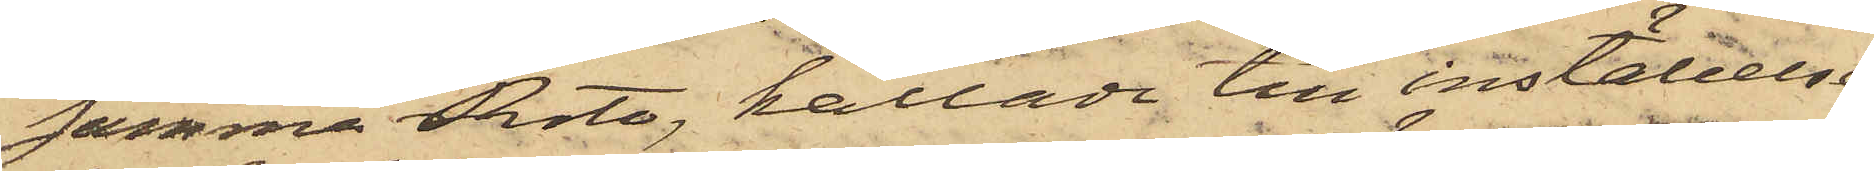samma rote, kallade till inställelse
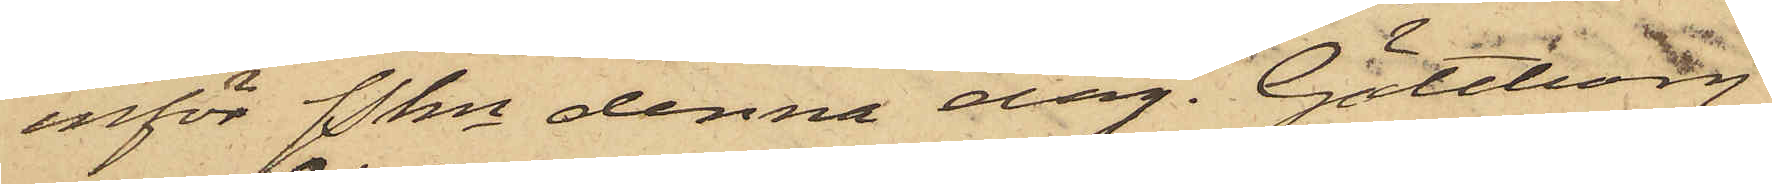inför Pkn denna dag. Göteborg
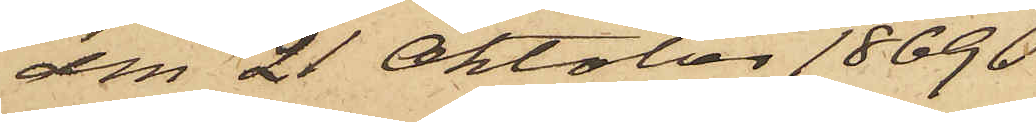den 21 Oktober 1869.
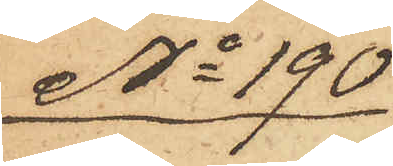No 190
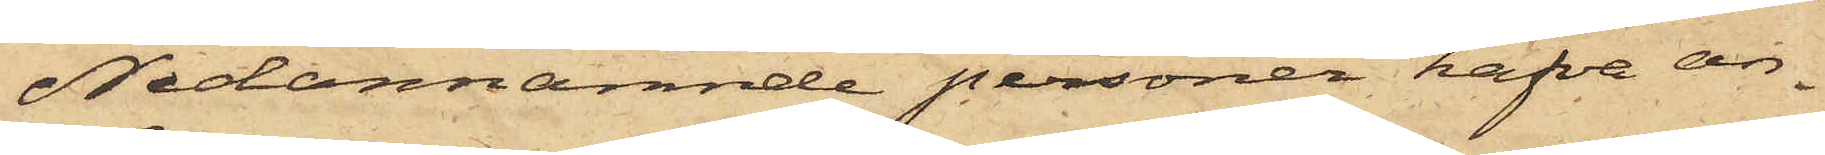Nedannämnde personer hafva an¬
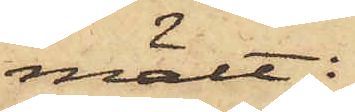mält:
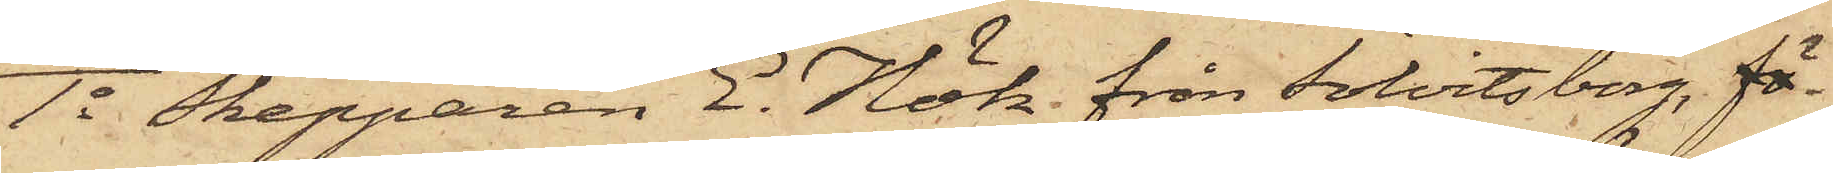1o Skepparen E. Hök från Sölvitsborg, fö
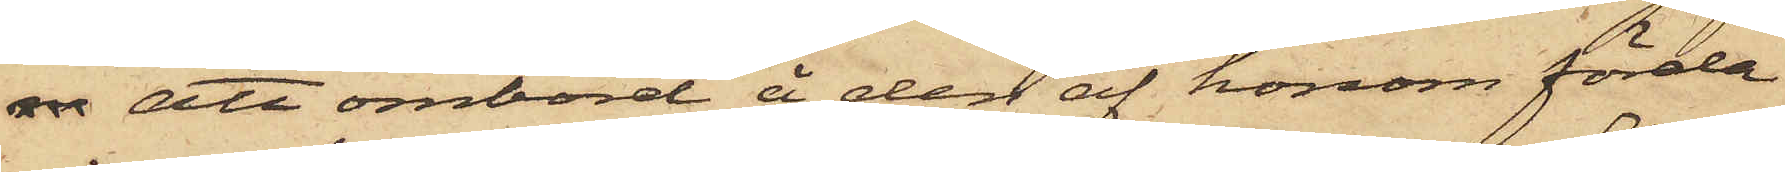 att ombord å den af honom förda
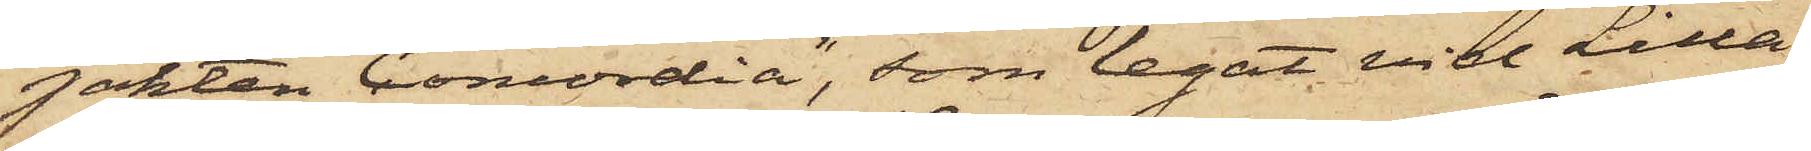jakten "Concordia", som legat vid Lilla
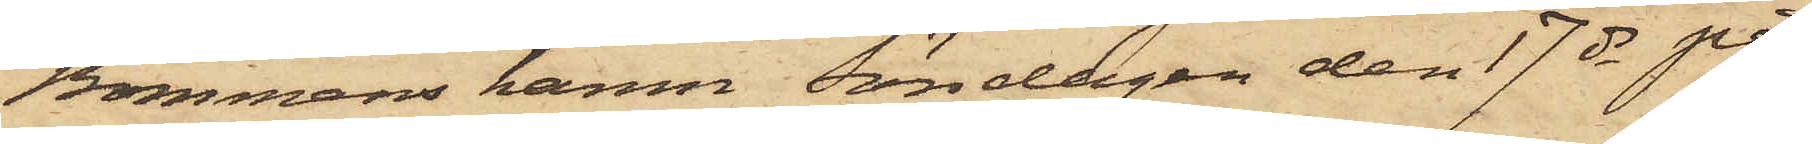Bommens hamn, Söndagen den 17 ds på
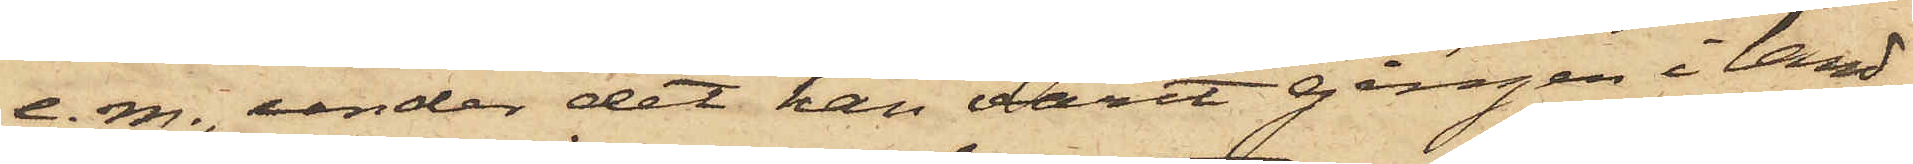e.m., under det han varit gången i land,
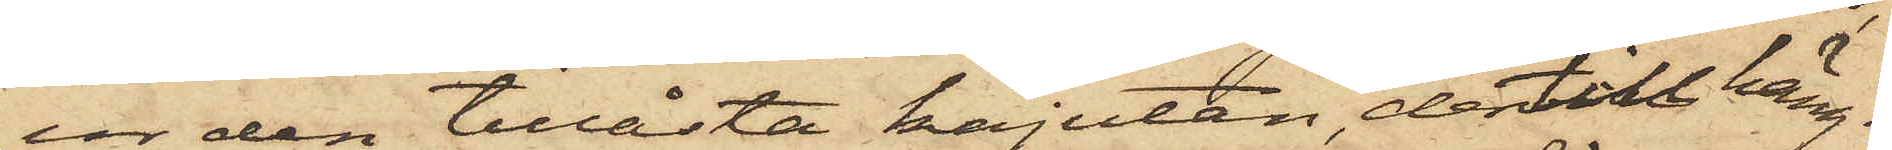ur den tillåsta kajutan, dertill häng¬
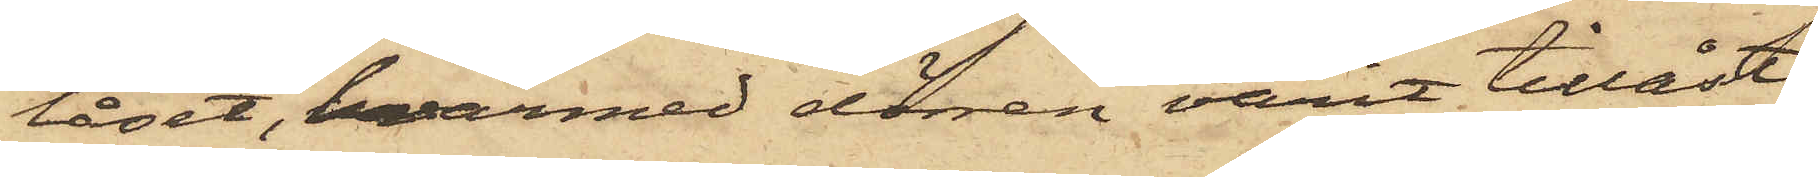låset, hvarmed dörren varit tillåst,
